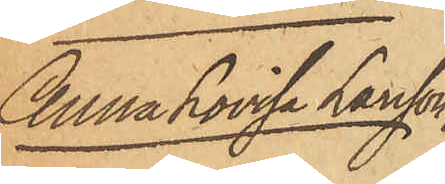Anna Lovisa Larsson
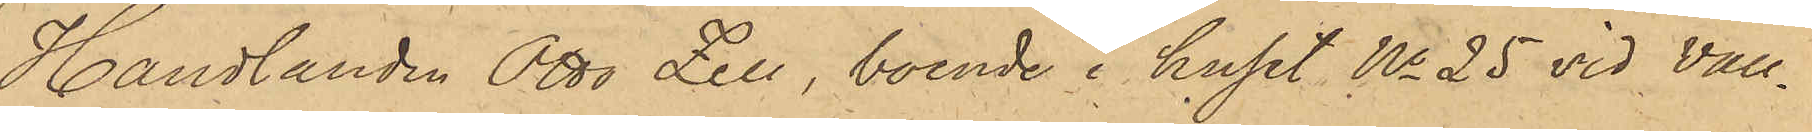Handlanden Otto Zell, boende i huset No 25 vid Vall¬
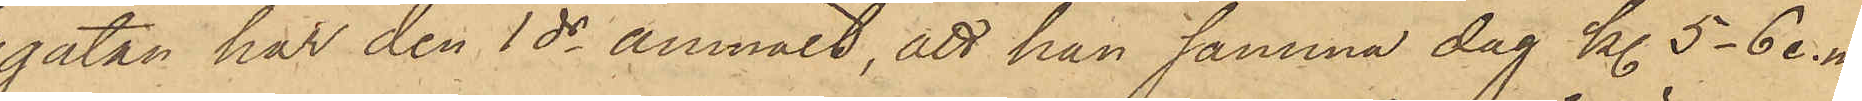gatan har den 1 ds anmält, att han samma dag kl. 5 - 6 e. m.
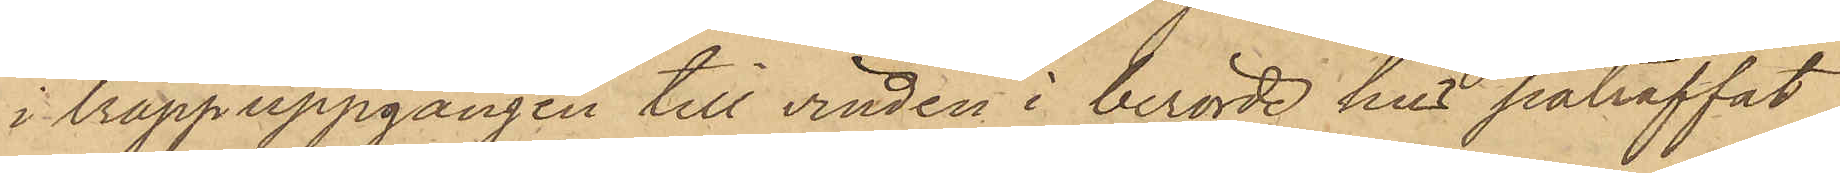i trappuppgången till vinden i berörde hus påträffat
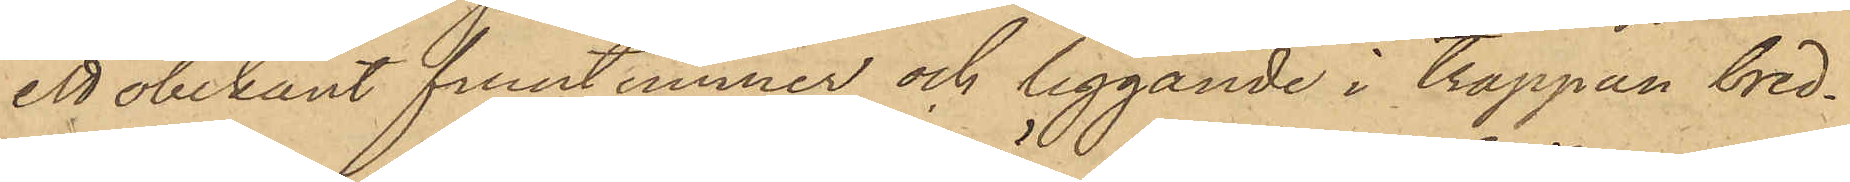ett obekant fruntimmer och liggande i trappan bred¬
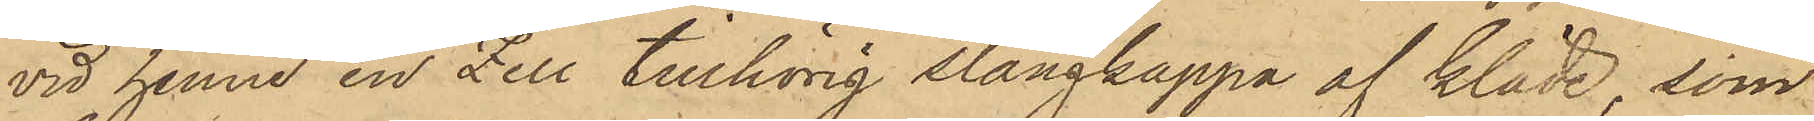vid henne en Zell tillhörig slängkappa af kläde, som
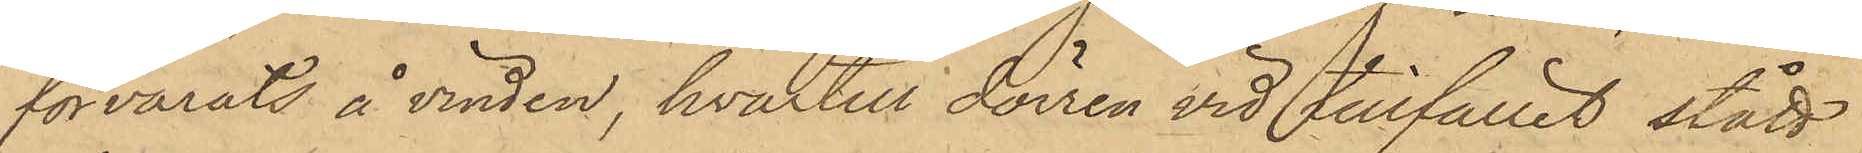förvarats å vinden, hvartill dörren vid tillfället stått
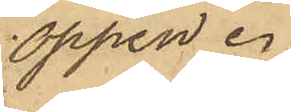öppen.
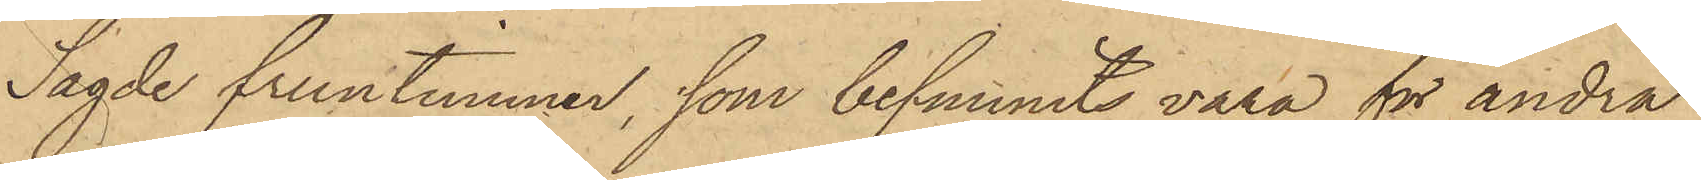Sagde fruntimmer, som befunnits vara för andra
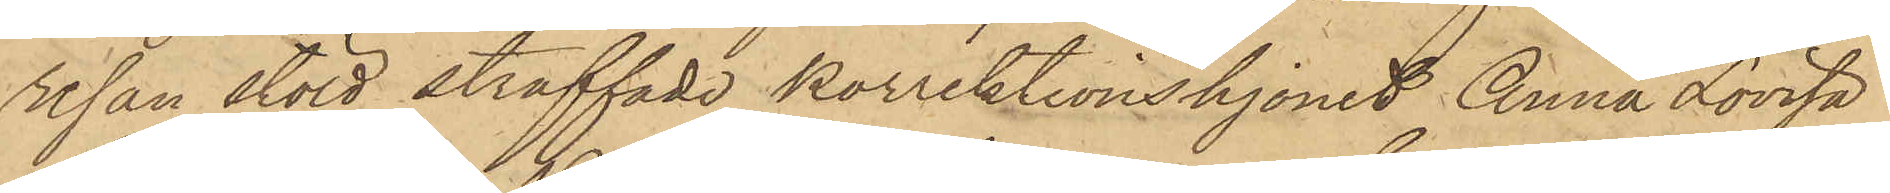resan stöld straffade Korrektionshjonet Anna Lovisa
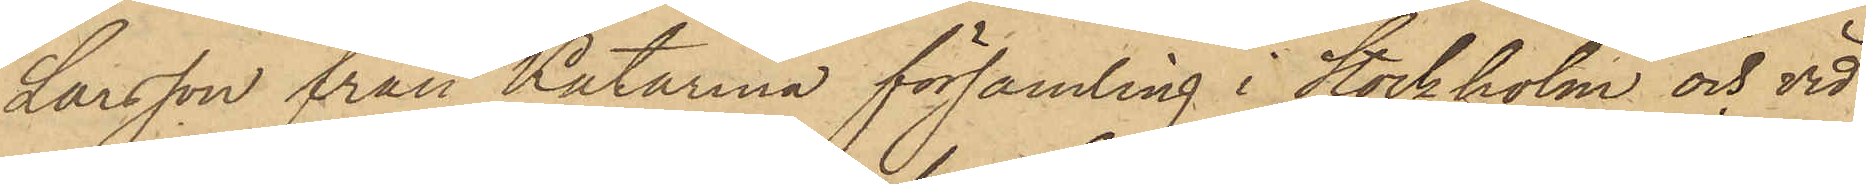Larsson från Katarina församling i Stockholm och vid
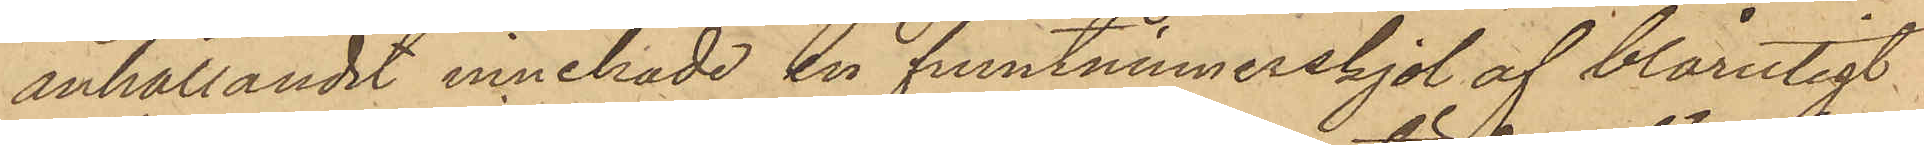anhållandet innehade en fruntimmerskjol af blårutigt
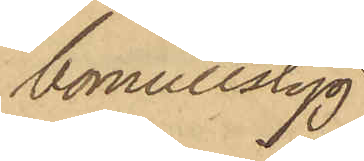bomullstyg
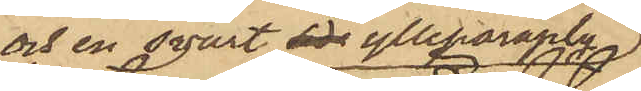och en svart side ylleparaply,
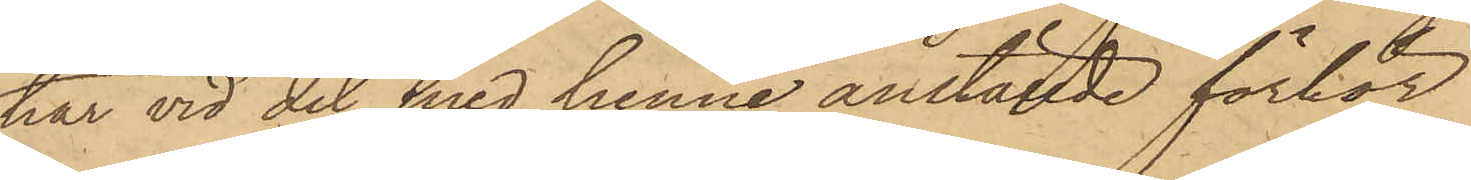har vid det med henne anställde förhör
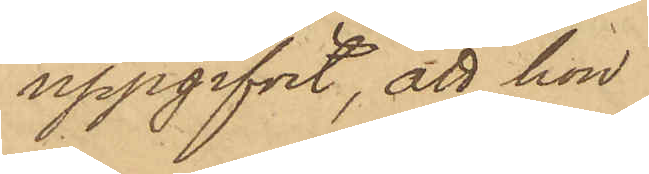uppgifvit, att hon
